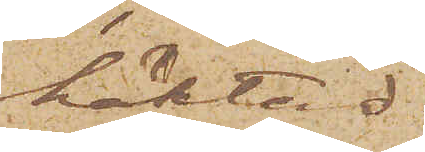häktad.
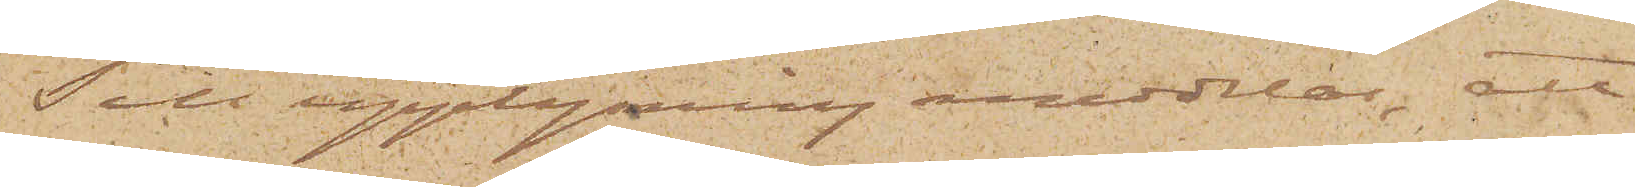Till upplysning meddelas, att
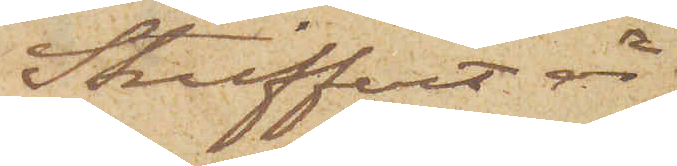Streiffert är
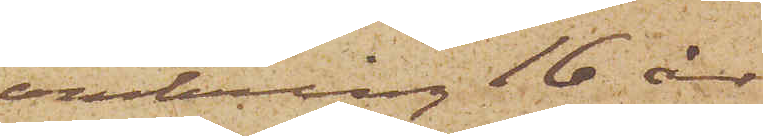omkring 16 år
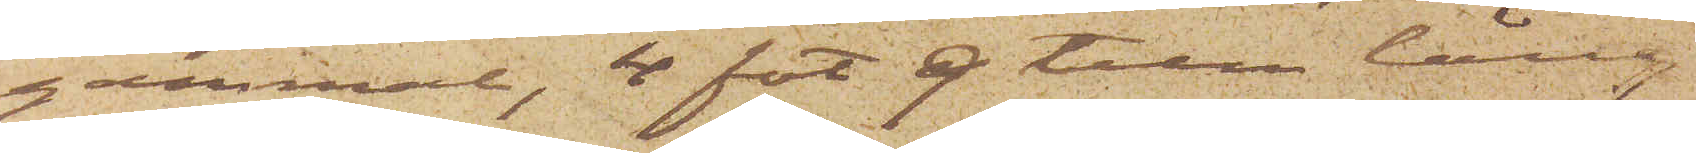gammal, 4 fot 9 tum lång
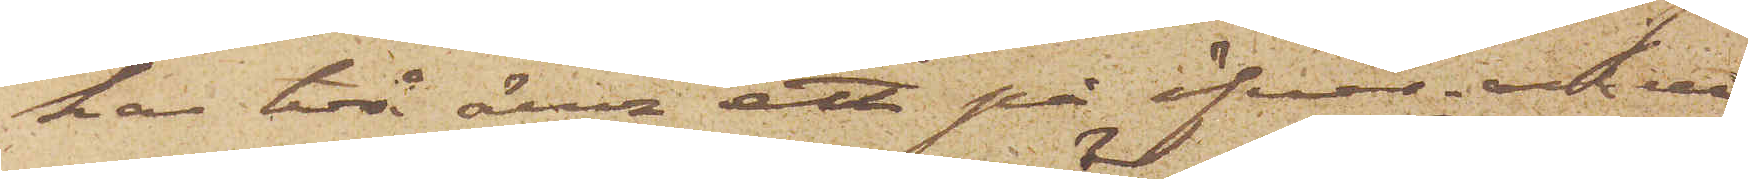har två ärr ett på öfver- och ett
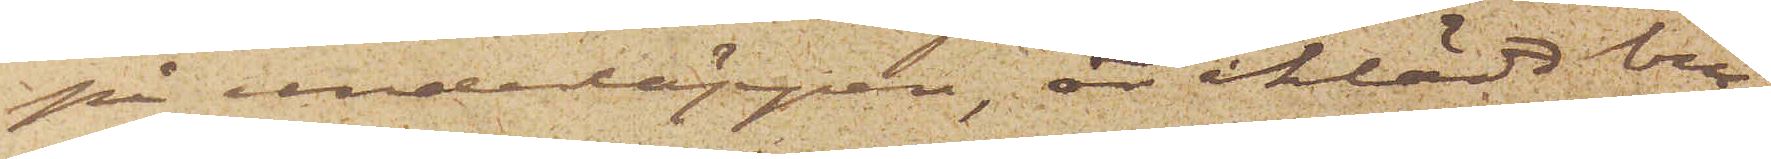på underläppen, är iklädd bru¬
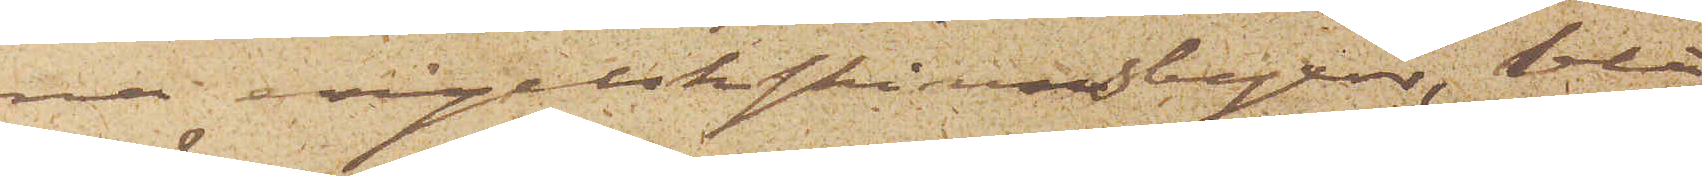na engelskskinnsbyxor, blå
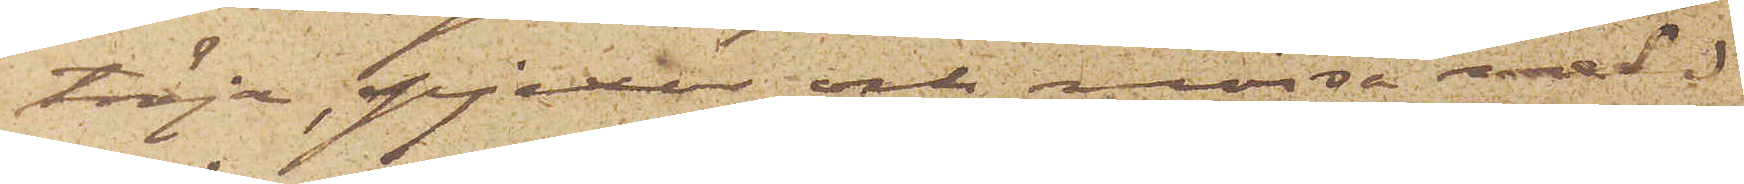tröja, pjexor och mössa med
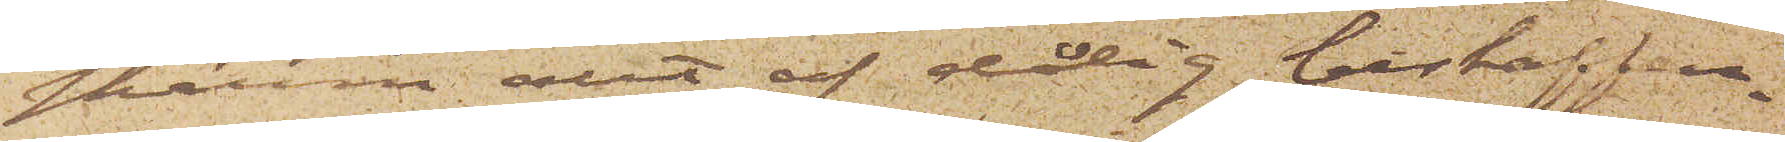skärm allt af dålig beskaffen¬
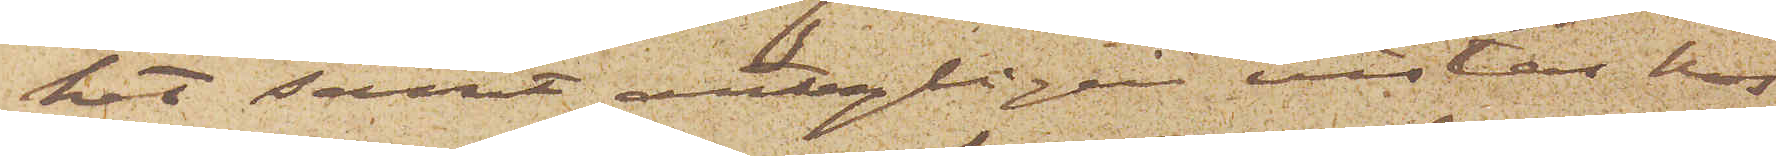het samt antagligen vistas hos
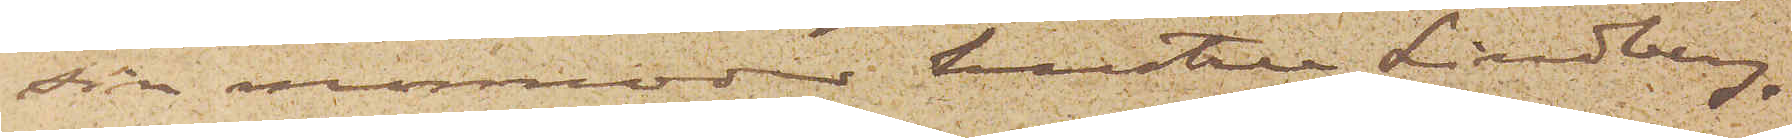sin mormoder hustru Lindberg,
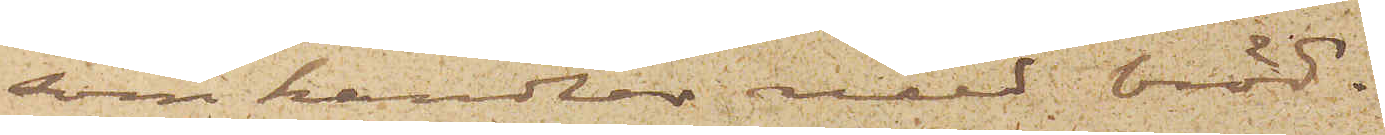som handlar med bröd.
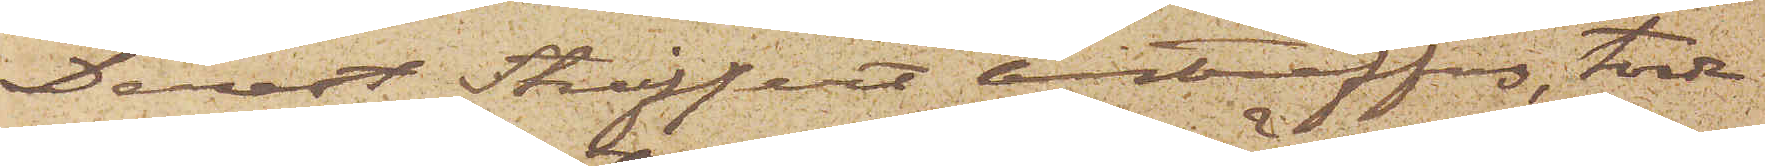Derest Streiffert anträffas, torde
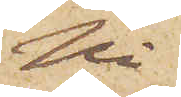Ni
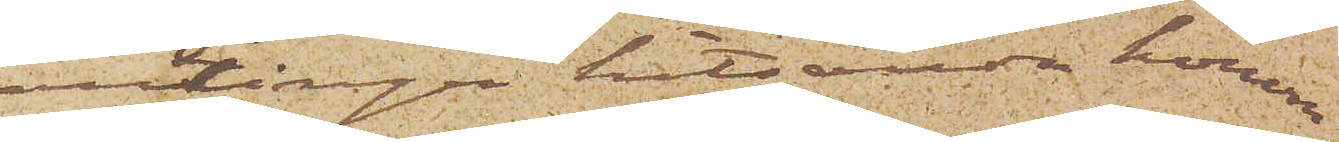antingen hitsända honom
